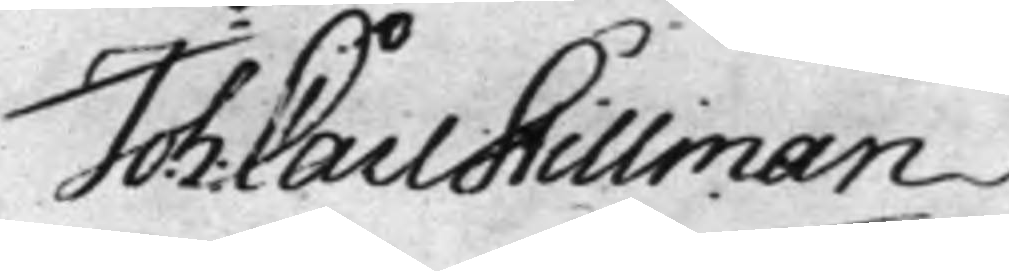Joh: Carl Stillman
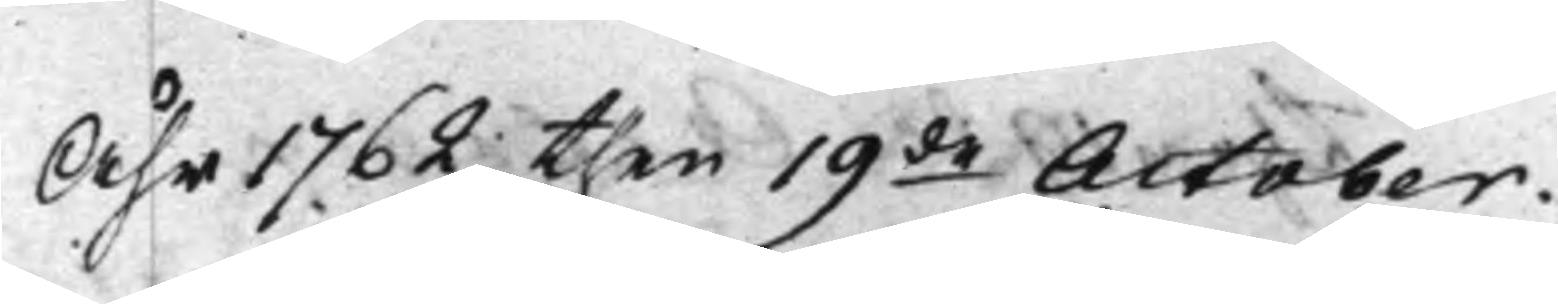Åhr 1762 then 19de October.
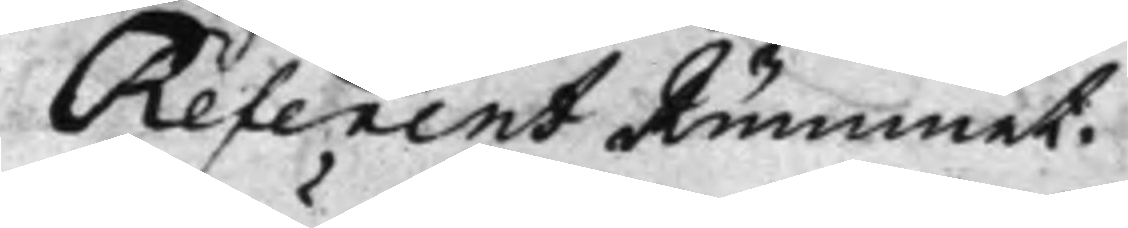Referent Rummet.
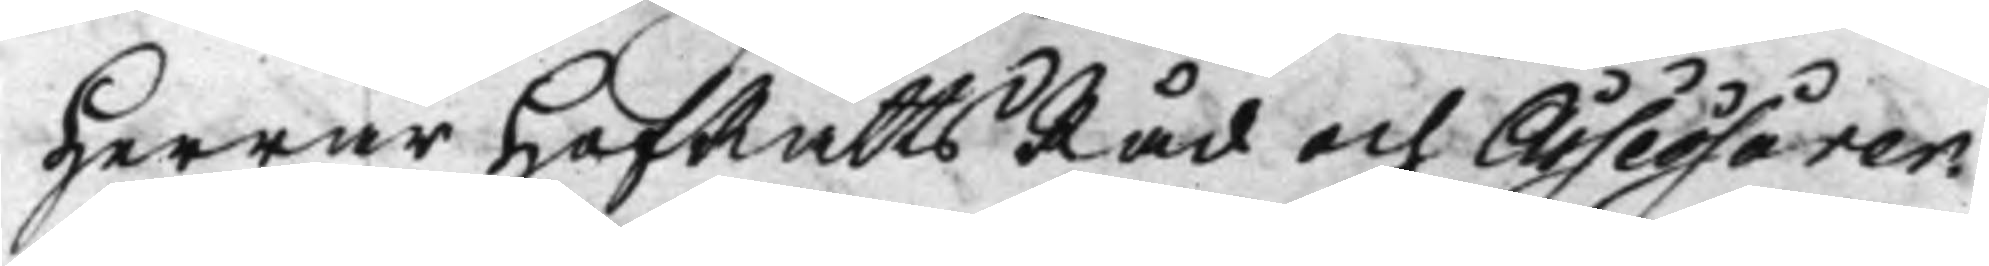Herrar HofRättsRåd och Assessorer.
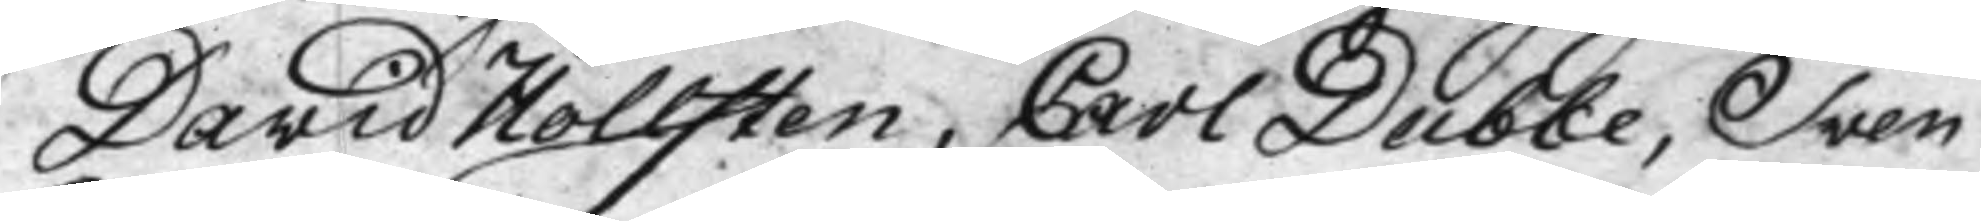David Hollsten, Carl Dubbe, Sven
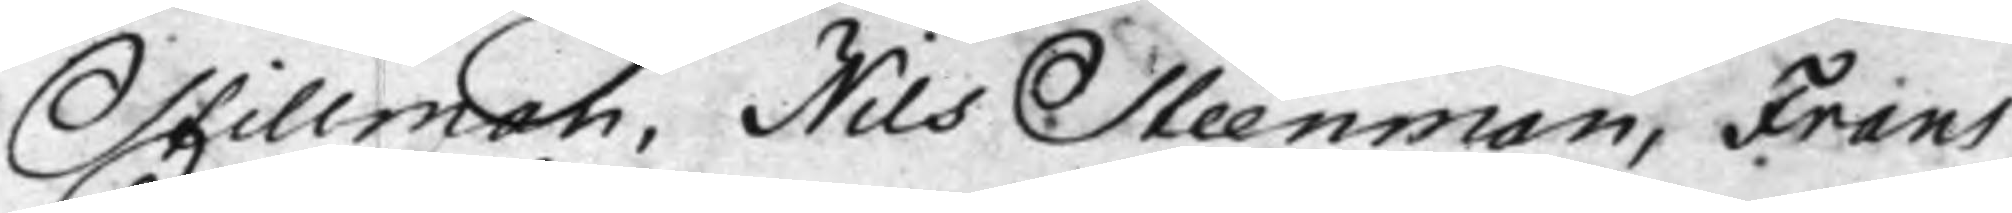Stillman, Nils Steenman, Frans
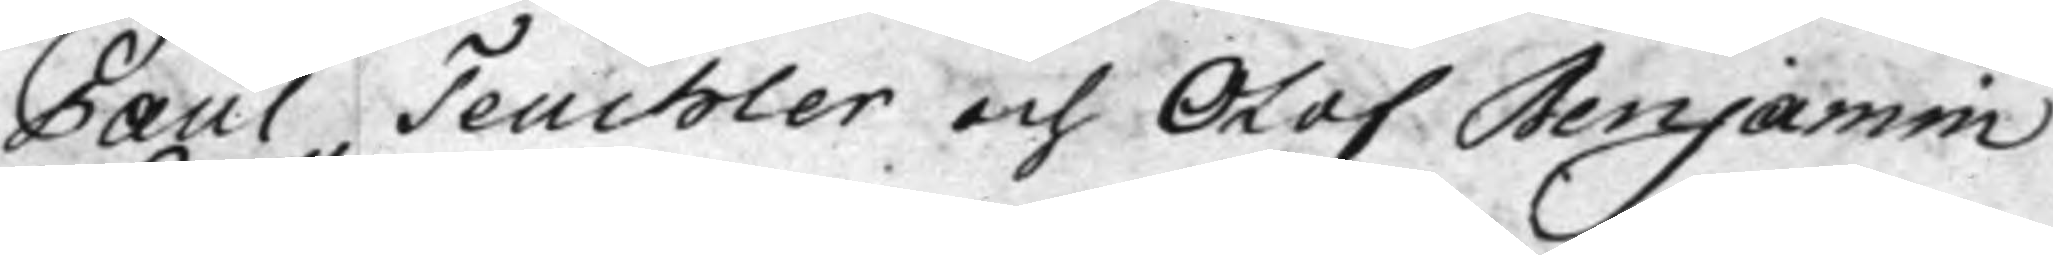Paul Teuchler och Olof Benjamin
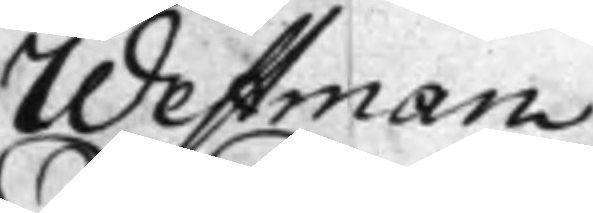Westman
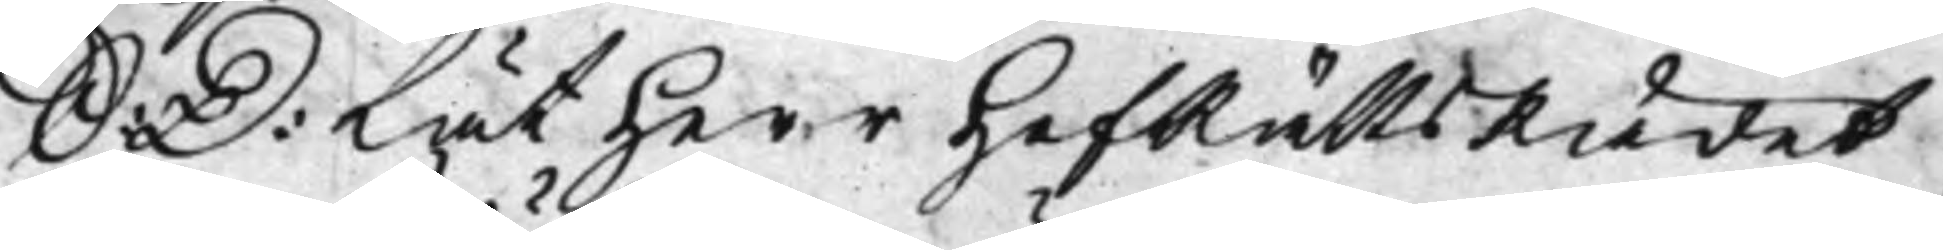S: D: Lät Herr HofRättsRådet
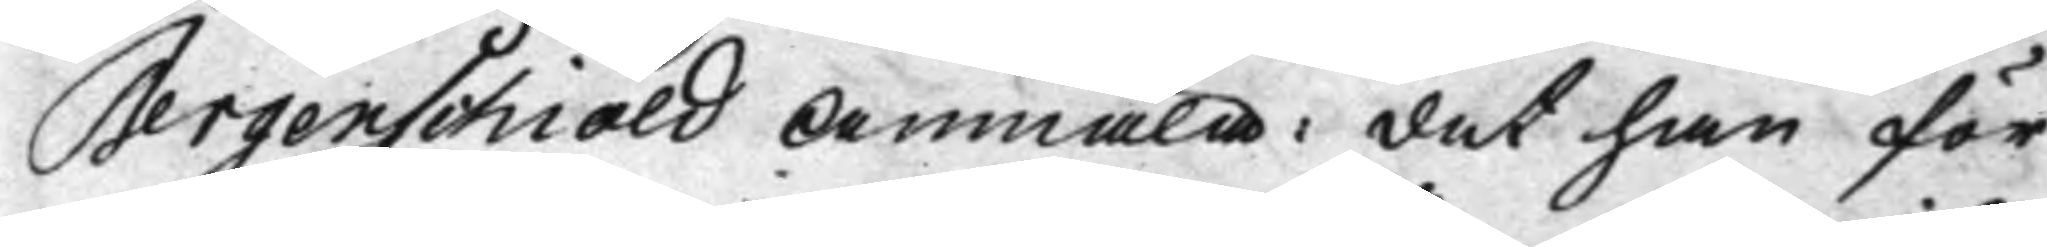Bergenschiöld Anmäla: det han för
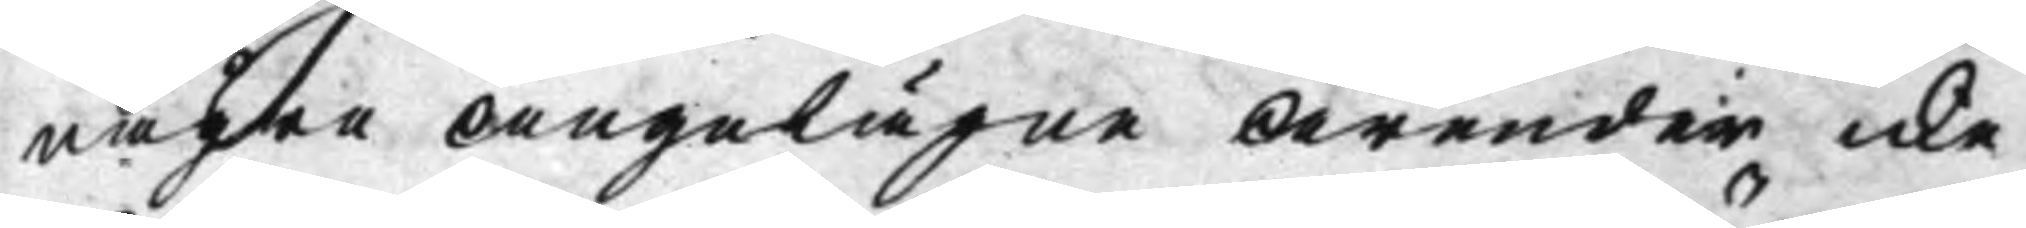någre Angelägne Ärender icke
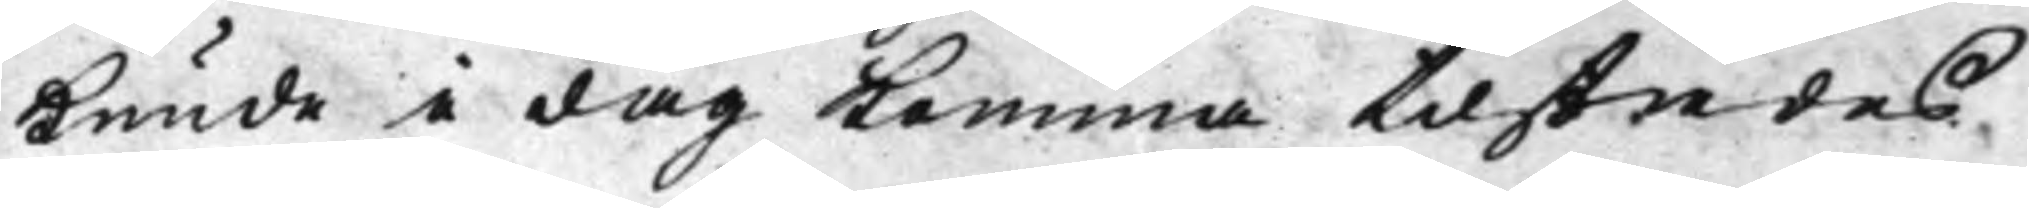kunde i dag komma tilstädes
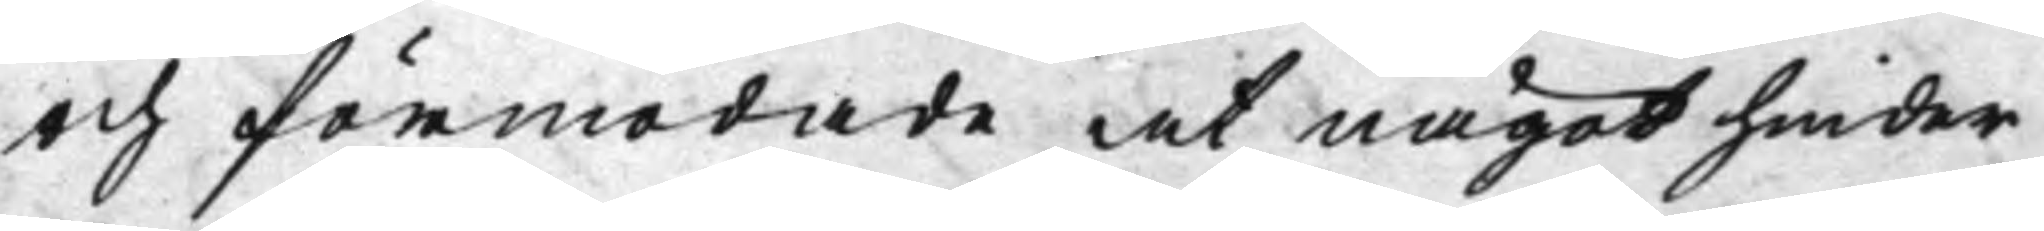och förmodade at något hinder
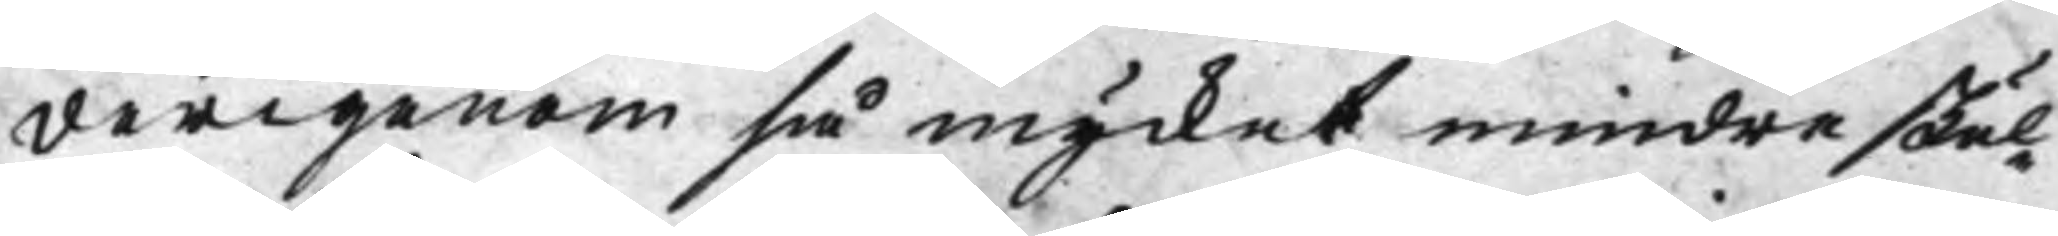derigenom så mycket mindre skul¬
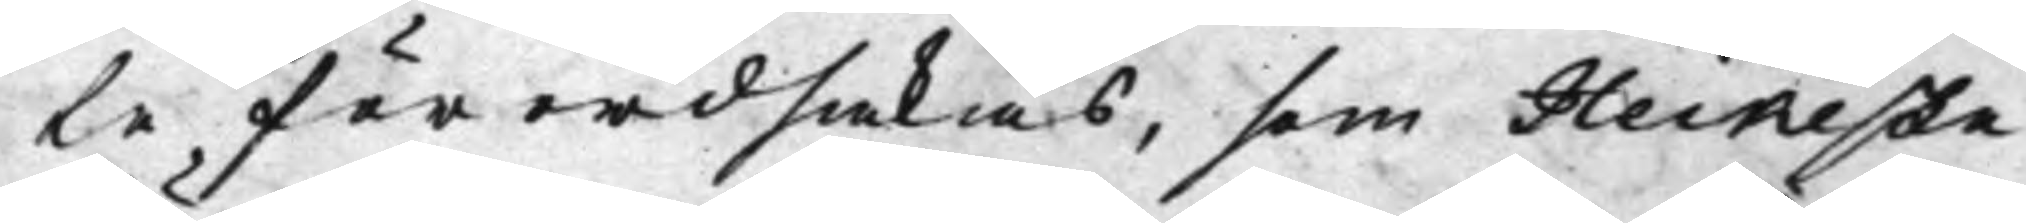le förordsakas, som Heikeste
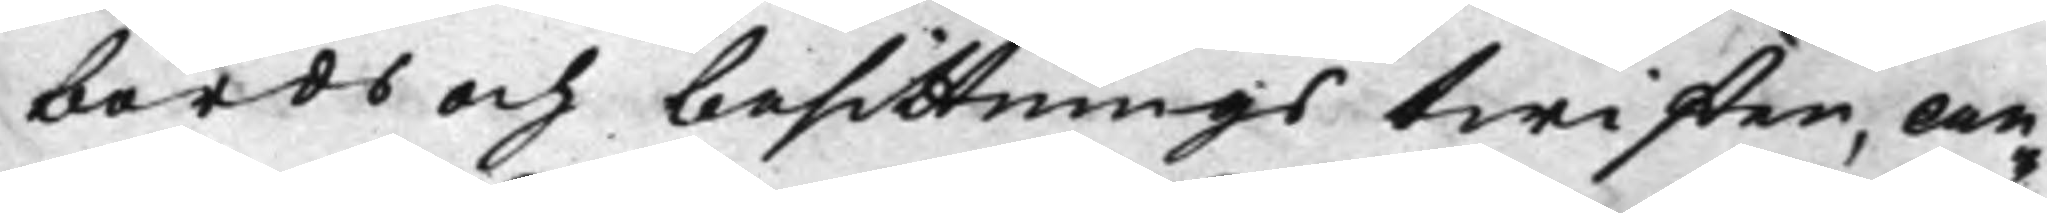börds och besittnings twisten, an¬
